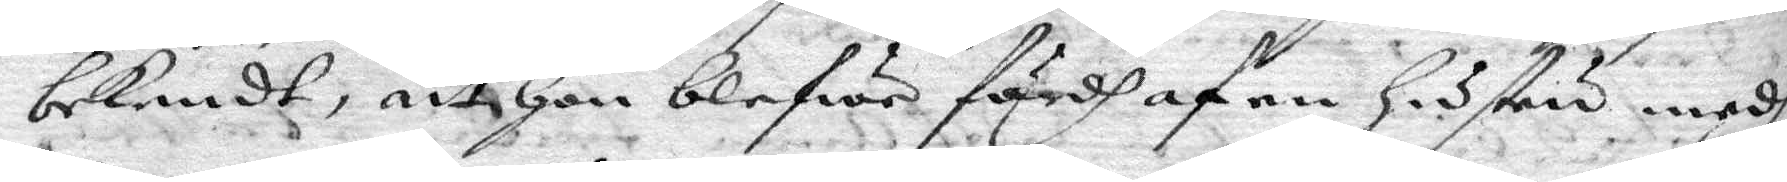bekendt, att hon blefwe fördh af en hustru medh
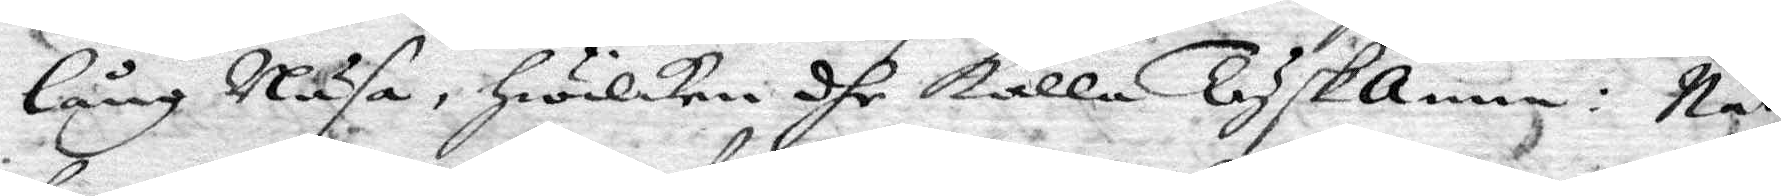lång Näsa, hwilken dhe kalla TyskAnna: När
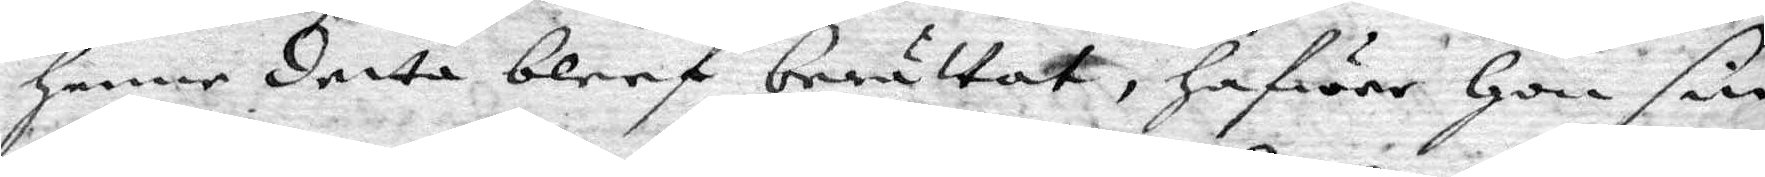henne detta bleef berättat, hafwer hon sin
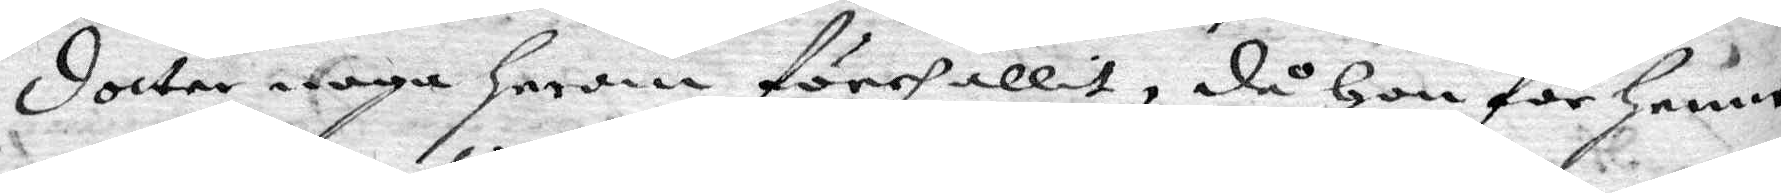dotter noga herom förehållit, då hon för henne
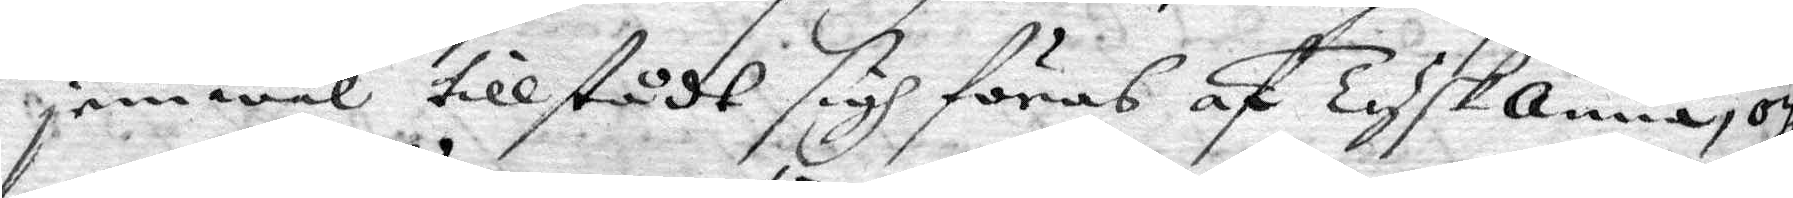jemwäl tillstådt sigh föras af TyskAnna, och
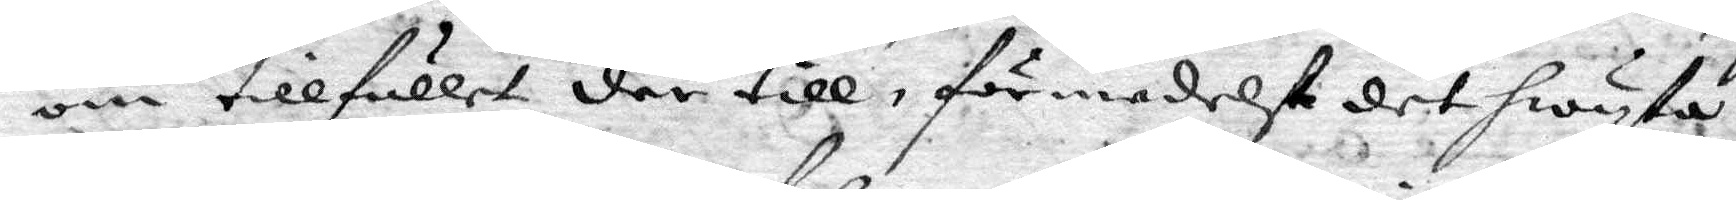om tillfället der till, förmedelst det hwyta
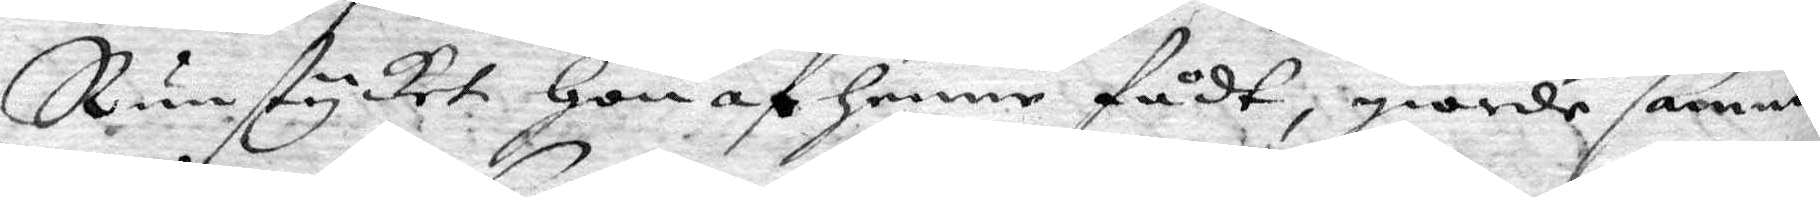Runstycket hon henne fådt, giorde samme
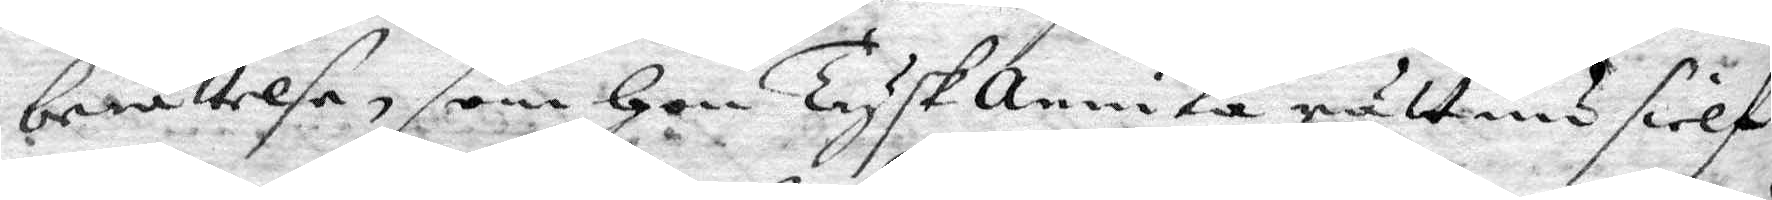berättelse, som hon Tysk Annika rättens sielf
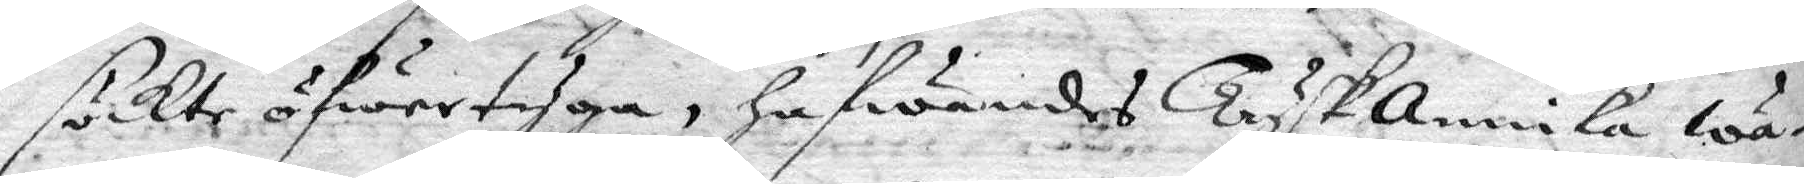söckte öfwertyga, hafwandes Tysk Annika wa¬
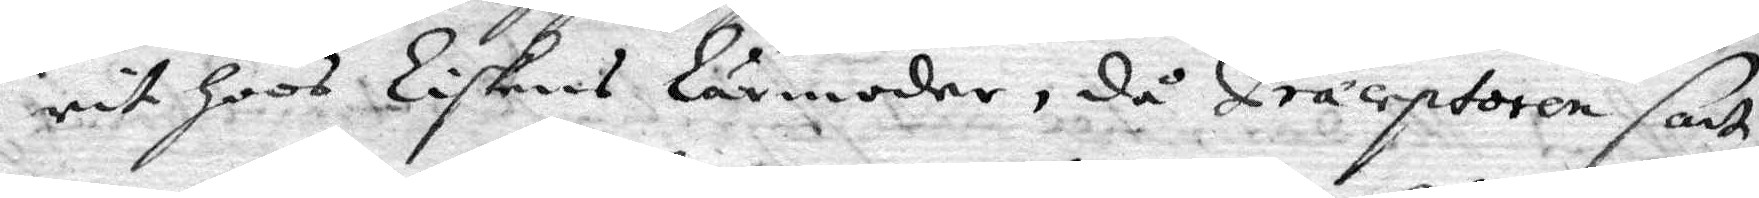rit hoos Liskens Lärmoder, då Præceptoren satt
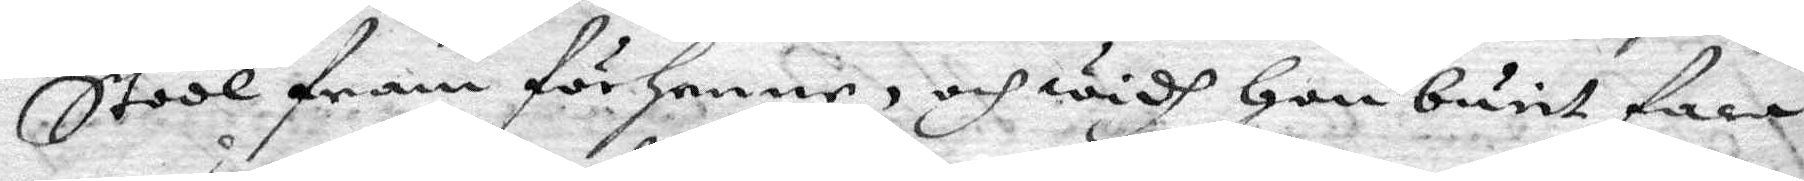Stool fram för henne, och widh hon burit fare¬
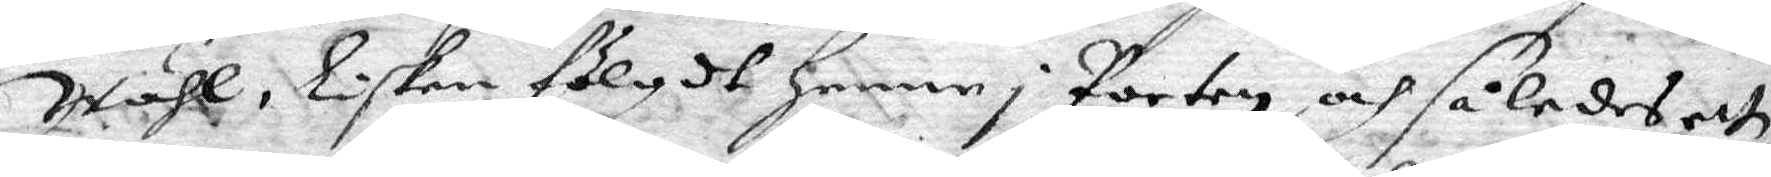wähl, Lisken fölgdt henne i Porten och således ett
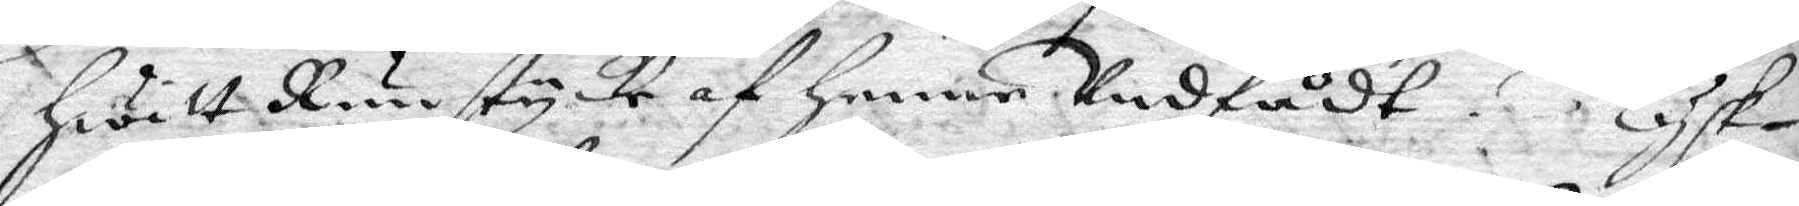hwitt Runstycke af henne Undfådt. Tysk¬
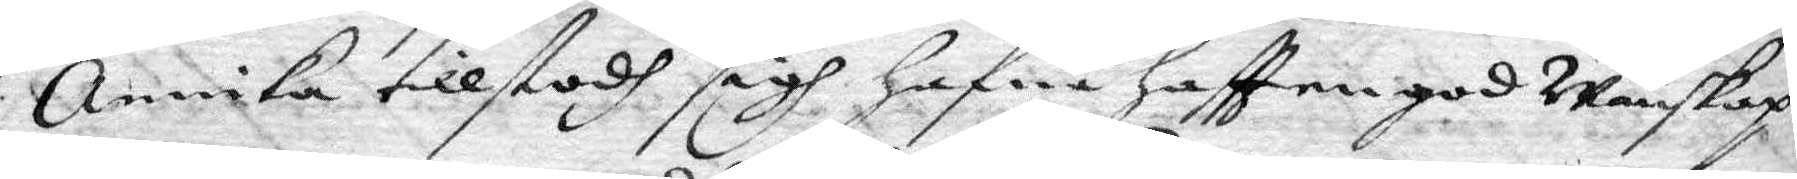Annika tillstodh sigh hafwa haftt en god Wänskap
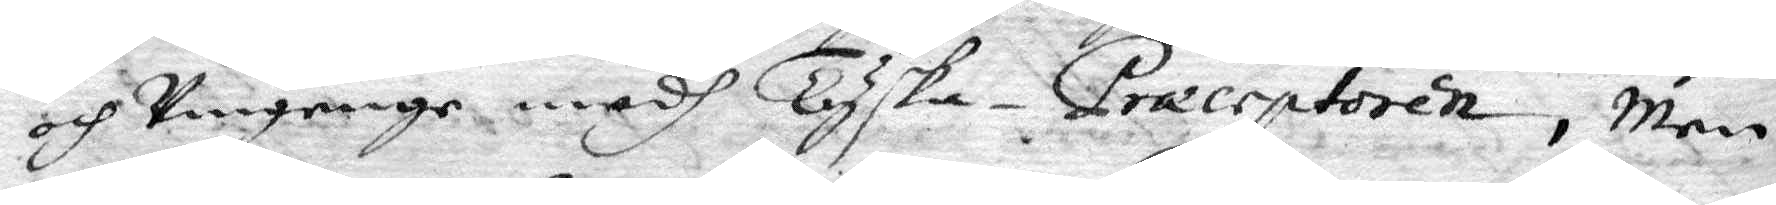och Umgenge medh Tyska Præcerptoren, men
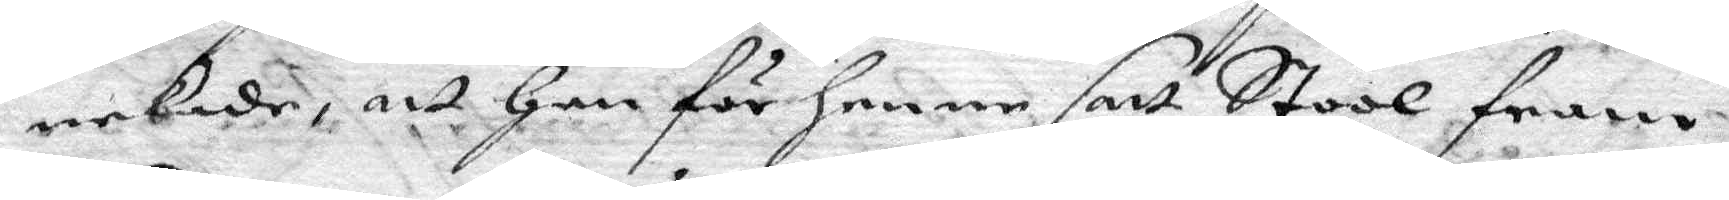nekade, att han för henne satt Stool fram,
